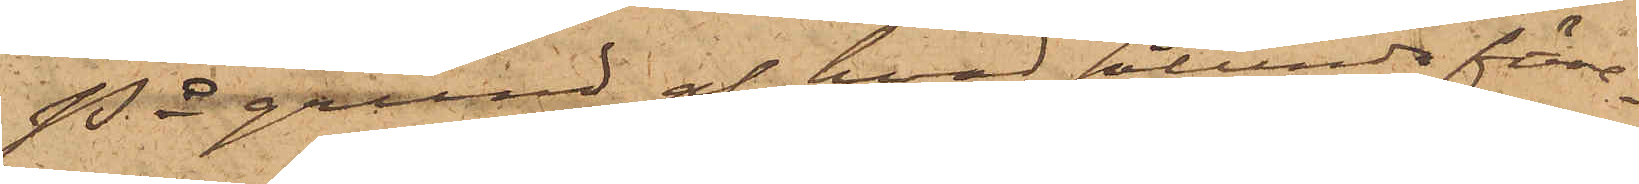På grund af hvad sålunda före¬
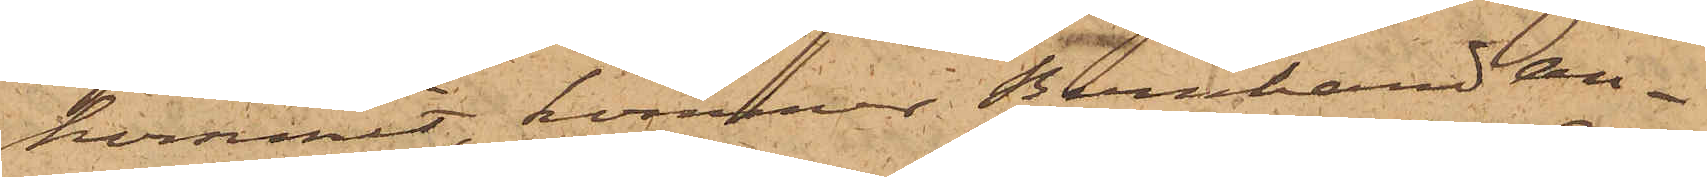kommit, kommer Bernhard An¬
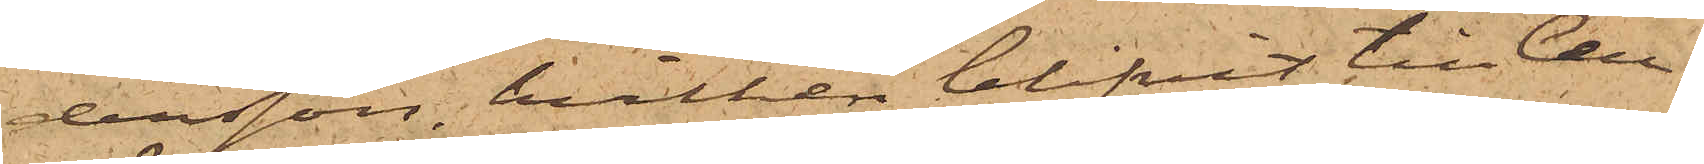dersson, hvilken blifvit till Cell¬
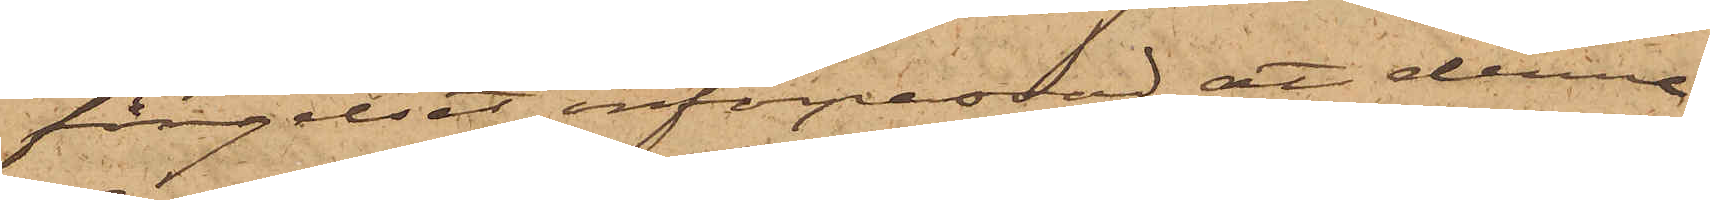fängelset införpassad, att denna
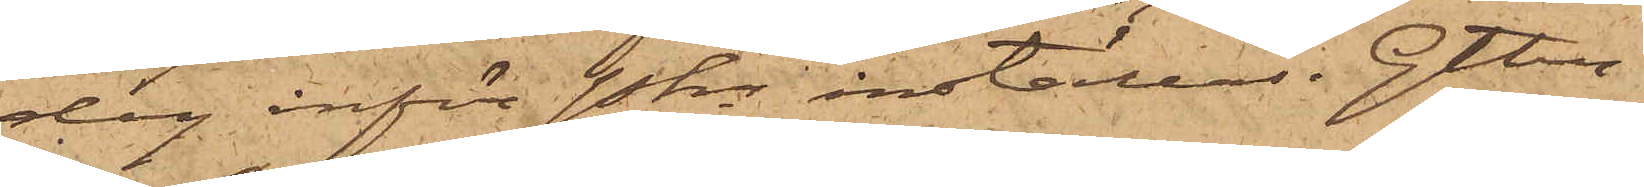dag inför Pkn inställas. Gtbg
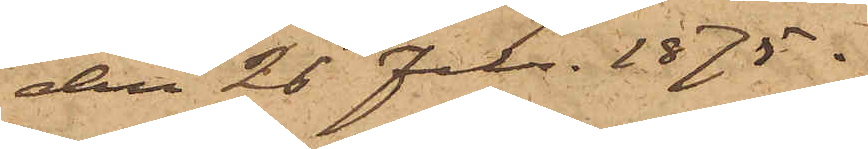den 26 Febr. 1875.
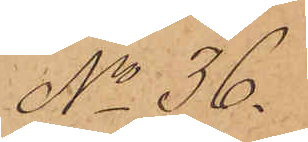No 36.
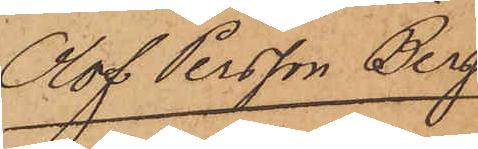Olof Persson Berg
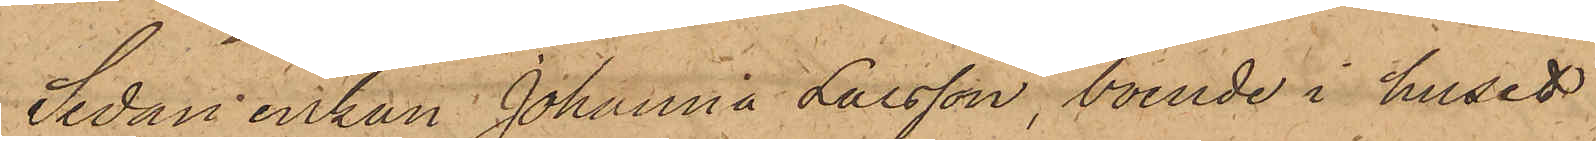Sedan enkan Johanna Larsson, boende i huset
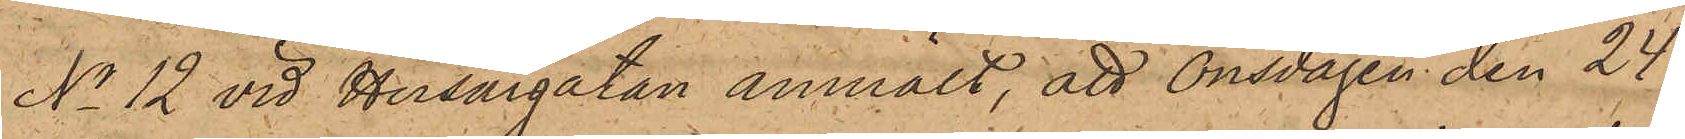No 12 vid Husargatan anmält, att Onsdagen den 24 i
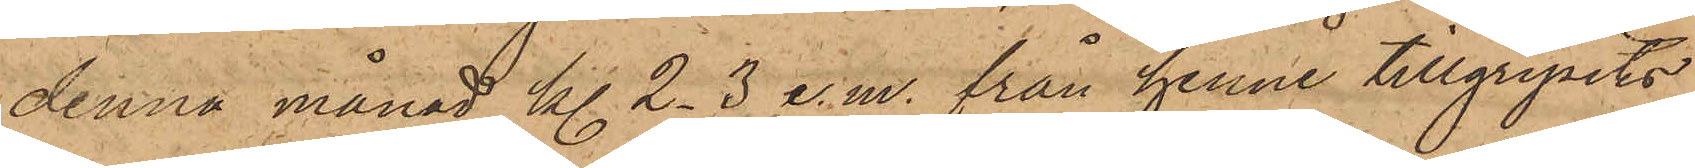denna månad kl. 2-3 e. m. från henne tillgripits
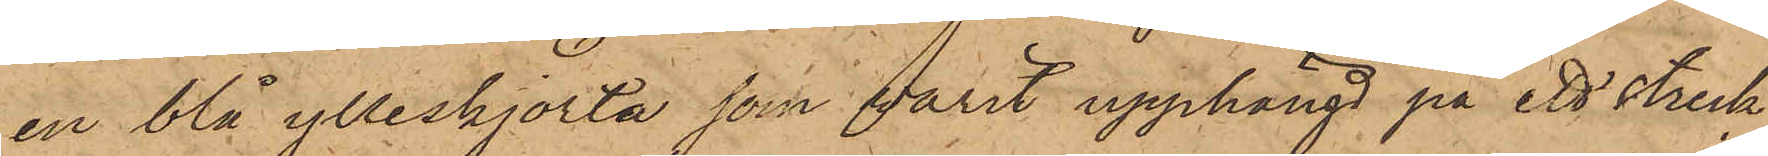en blå ylleskjorta som varit upphängd på ett streck
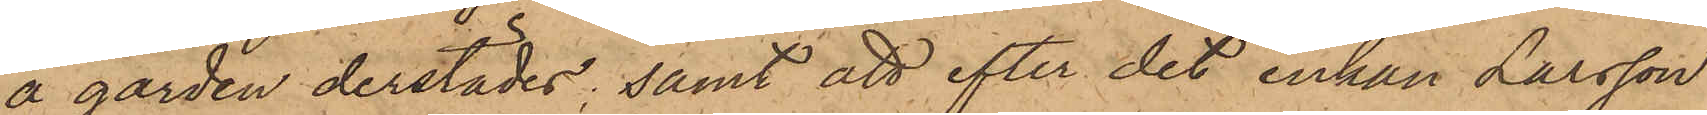å gården derstädes; samt att efter det enkan Larsson
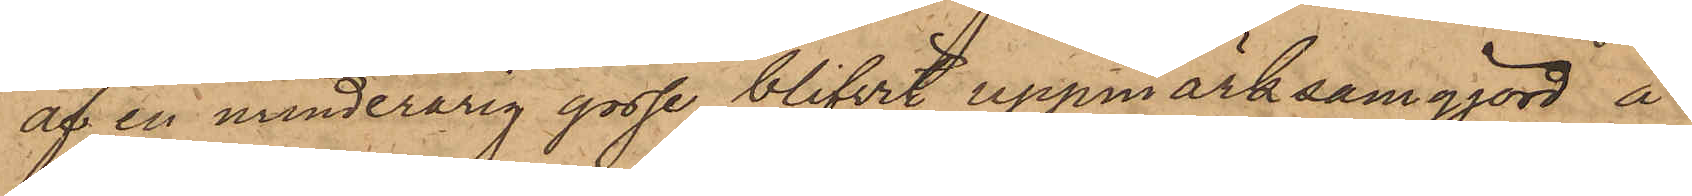af en minderårig gosse blifvit uppmärksamgjord å
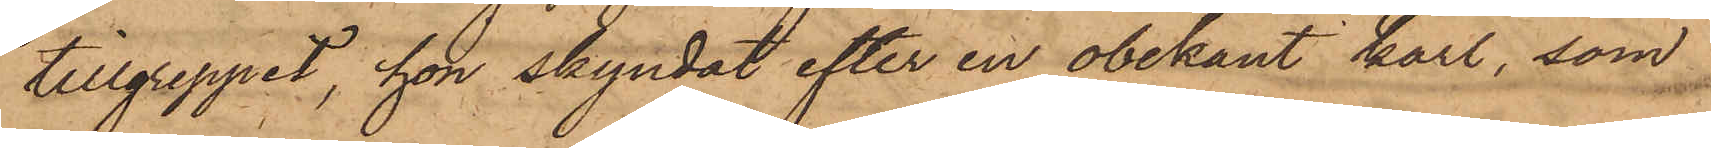tillgreppet, hon skyndat efter en obekant karl, som
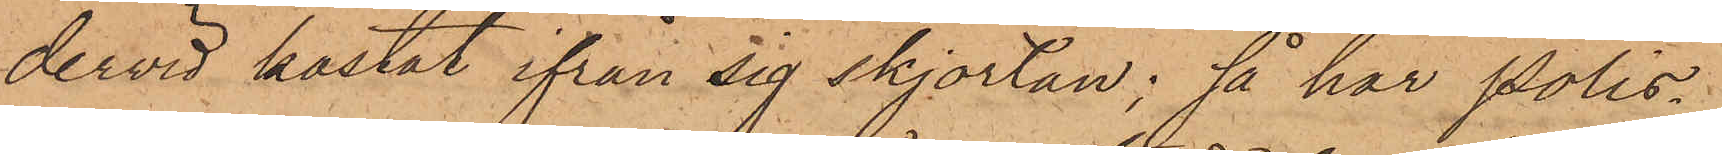dervid kastat ifrån sig skjortan; så har Polis¬
